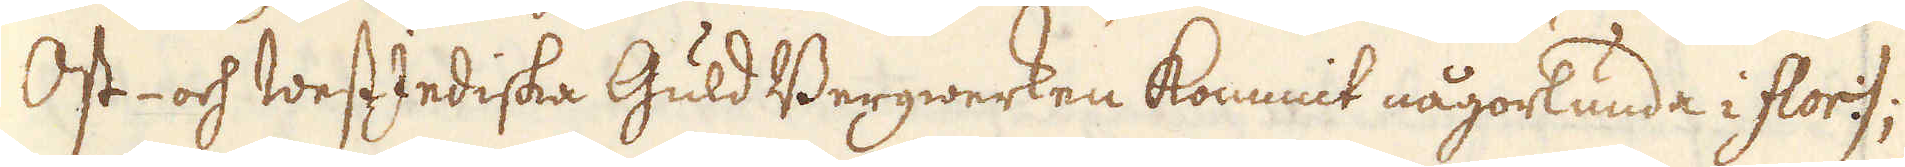Ost- och WestIndiska Guld Bergwerken kommit någorlunda i flor:);
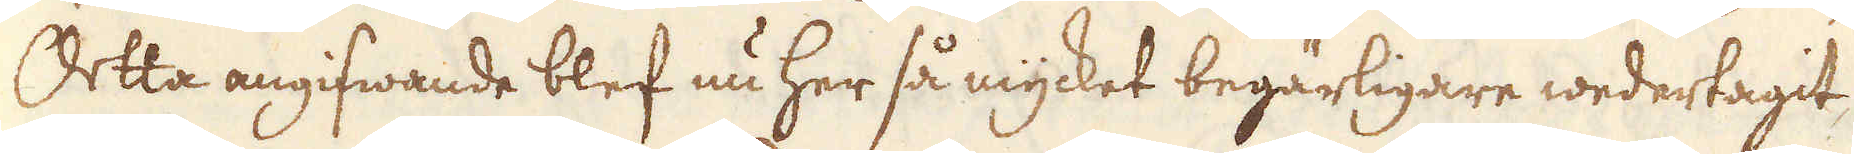Detta angifwande blef nu her så mycket begärligare wedertagit
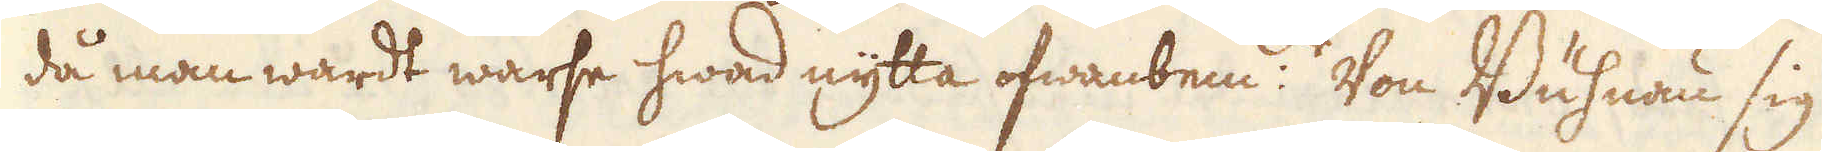då man wardt warse hwad nytta ofwanbem:de Von Buhnan sig
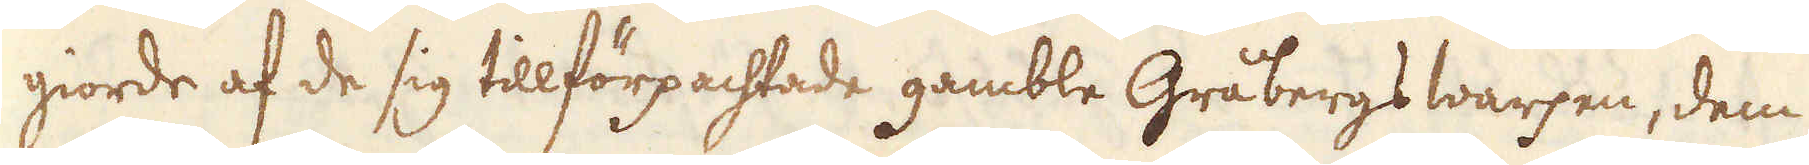giorde af de sig tillförpachtade gamble Gråbergs warpen, dem
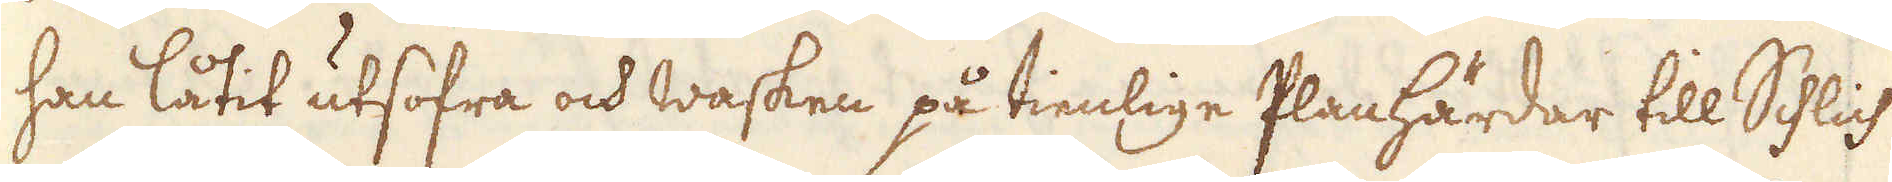han låtit utsofra och wasken på tienlige Planhärdar till Schlich
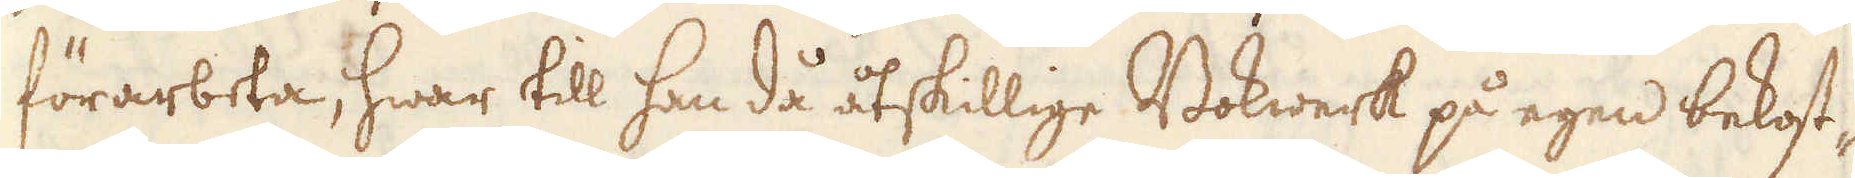förarbeta, hwar till han då åtskillige Bokwerk på egen bekost-
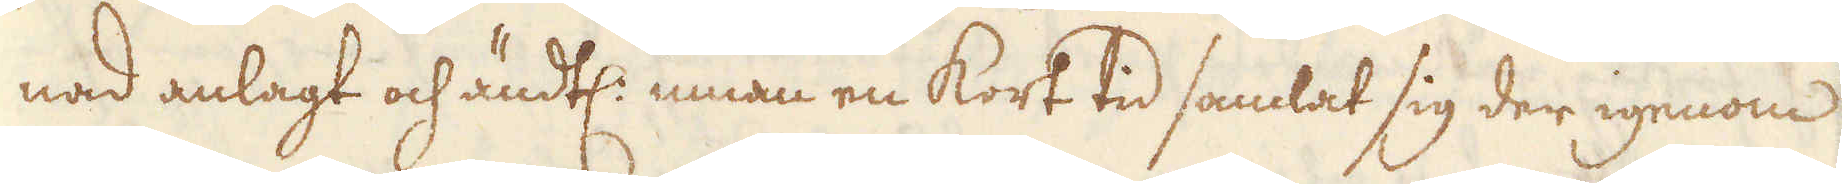nad anlagt och ändtl: innan en kort tid samlat sig der igenom
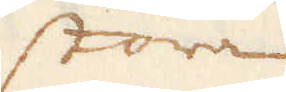stora
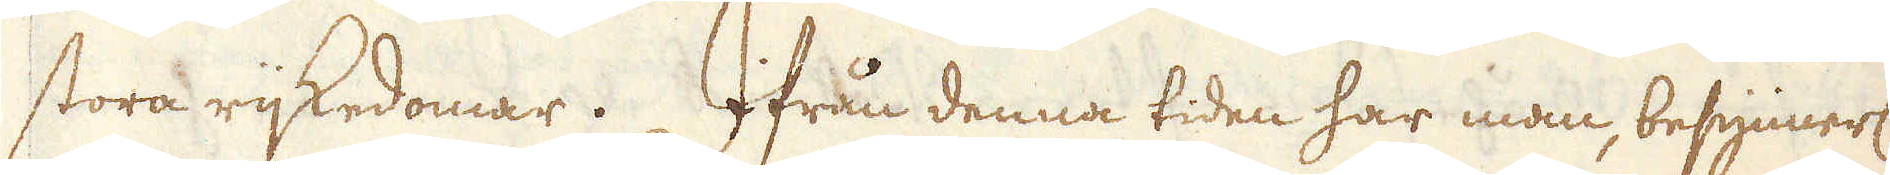stora rijkedomar. Ifrån denna tiden har man, besynnerl:
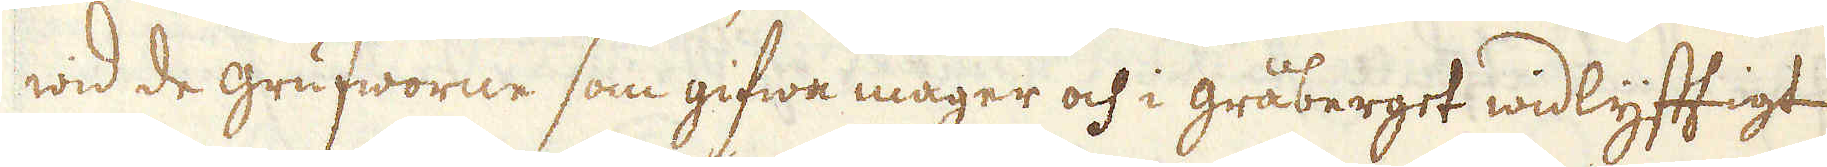wid de grufworne som gifwa mager och i gråberget widlyfftigt
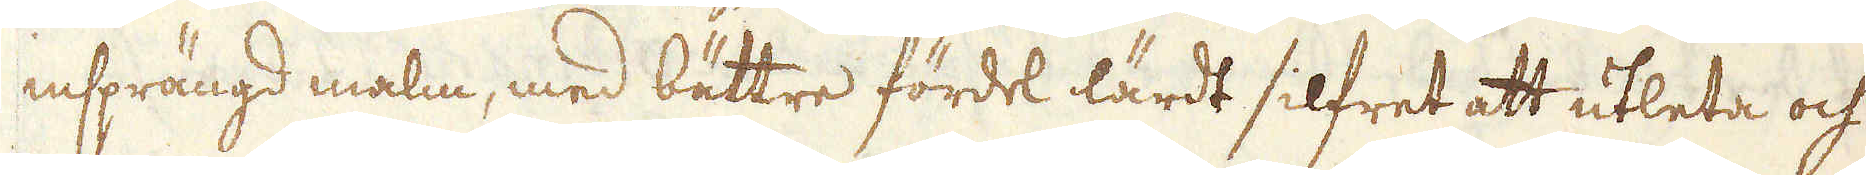insprängd malm, med bättre fördel lärdt silfret att utleta och
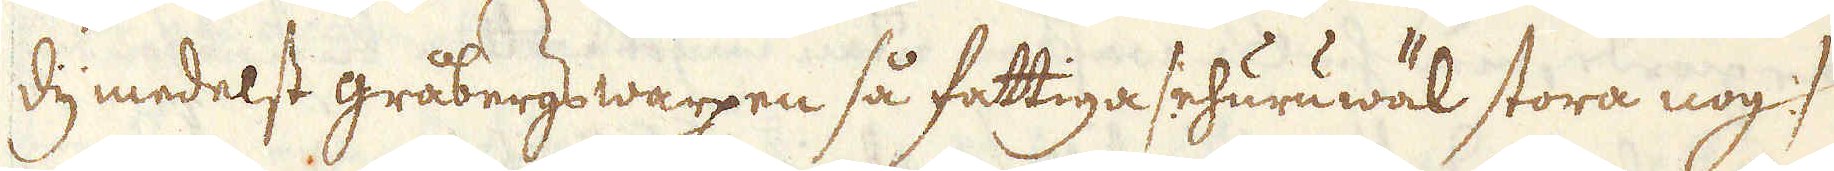dymedelst gråbergs warpen så fattiga /:ehuruwäl stora nog :/
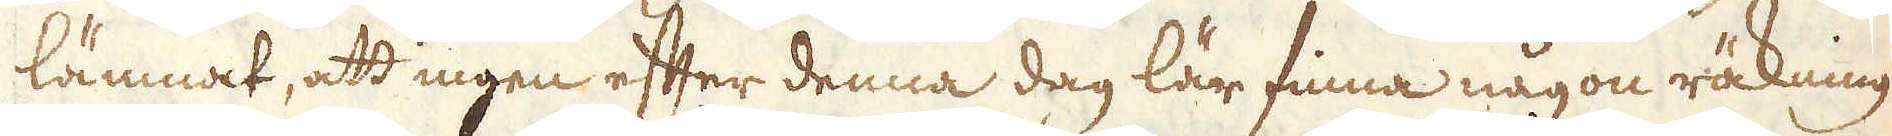lämnat, att ingen efter denna dag lär finna någon räkning
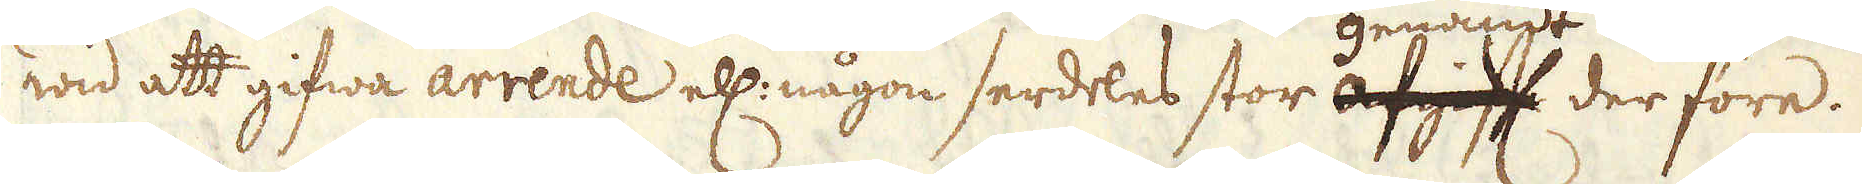wid att gifwa arrende ell: någon serdeles stor afgift genandt derföre.
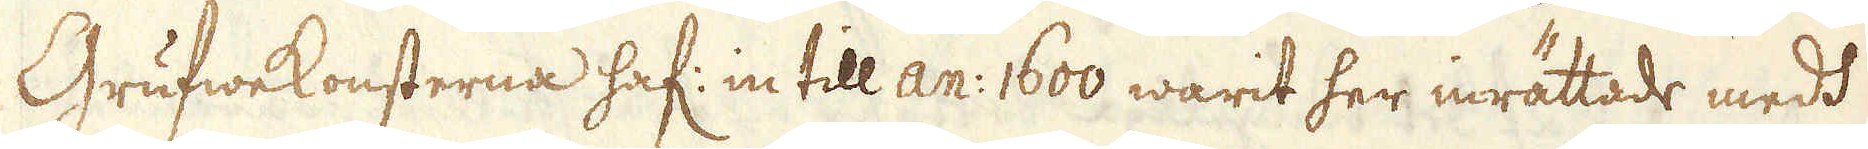Grufwekonsterna haf: in till an: 1600 warit her inrättade medd
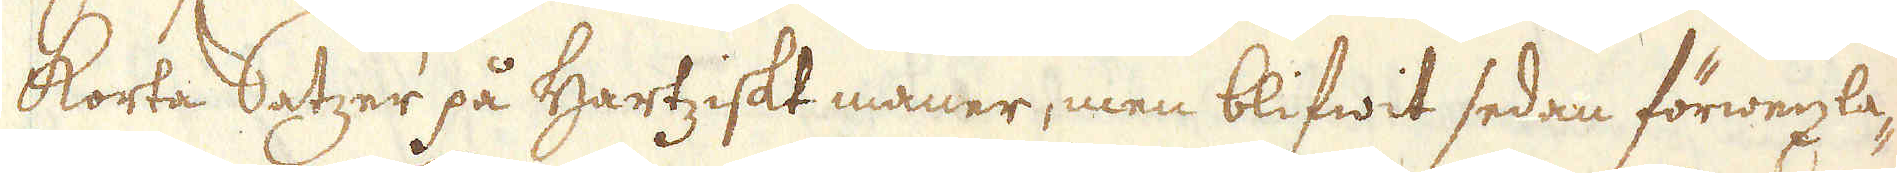korta Satzer på Hartziskt maner, men blifwit sedan förwexla-
